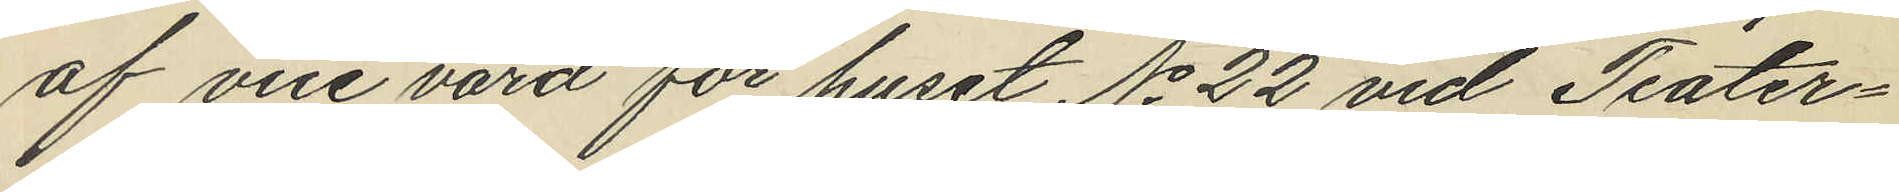af vice värd för huset No 22 vid Teater¬
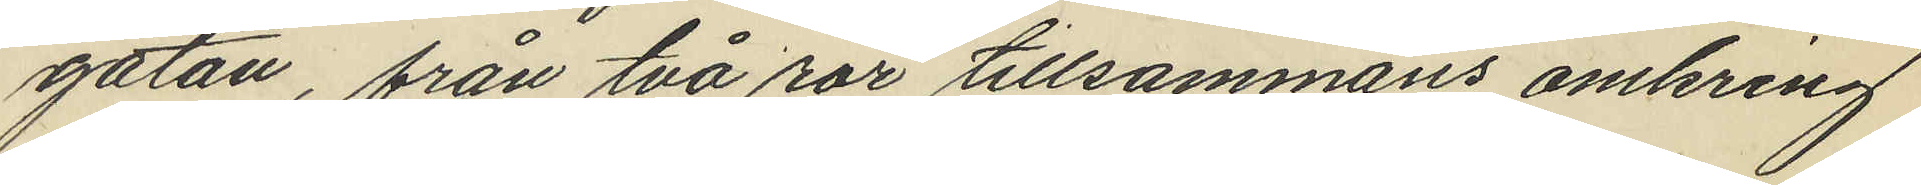gatan, från två rör tillsammans omkring
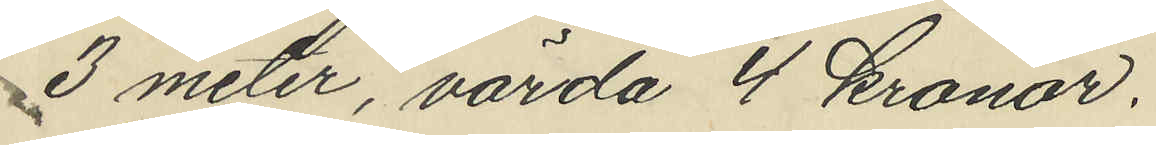3 meter, värda 4 kronor.
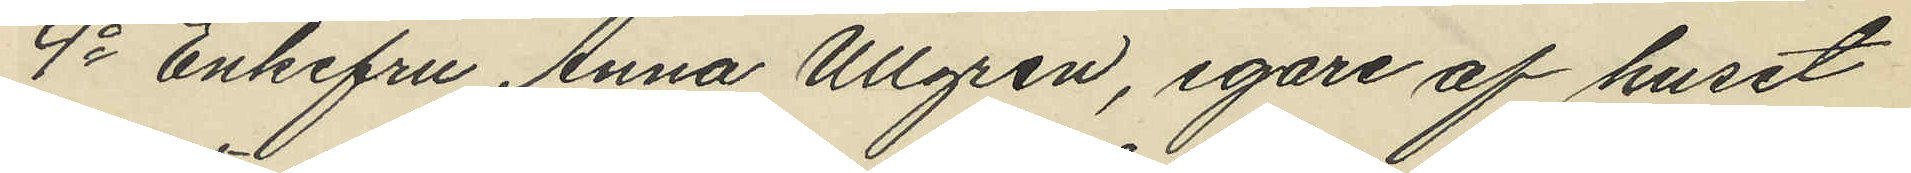4o Enkefru Anna Ullgren, egare af huset
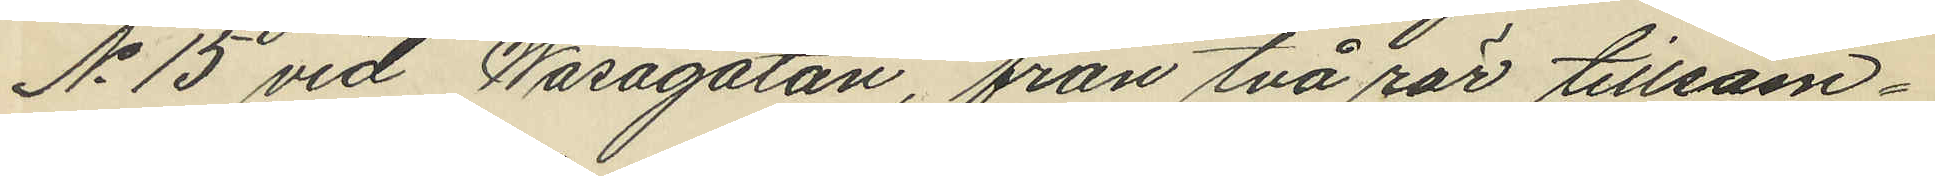No 15 vid Wasagatan, från två rör tillsam¬
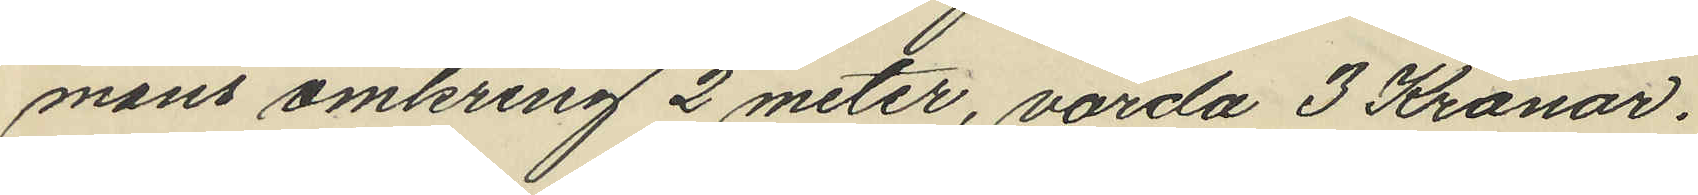mans omkring 2 meter, värda 3 Kronor.
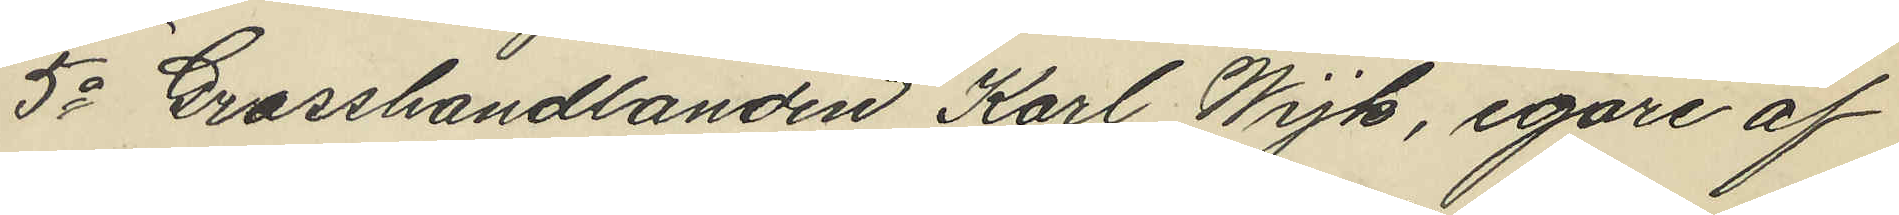5o Grosshandlanden Karl Wijk, egare af
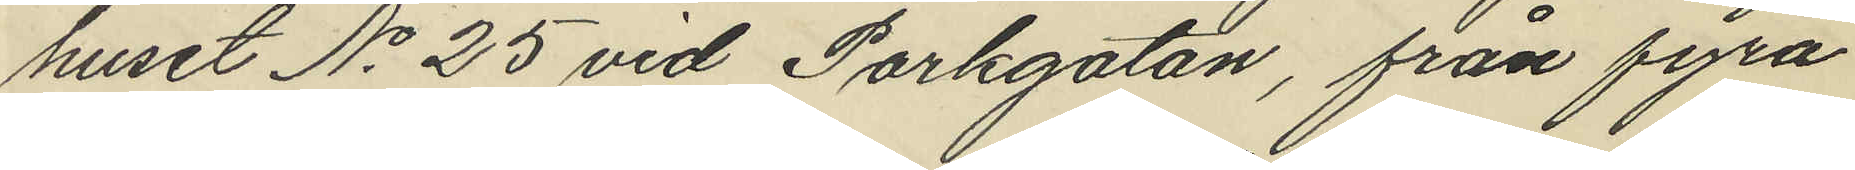huset No 25 vid Parkgatan, från fyra
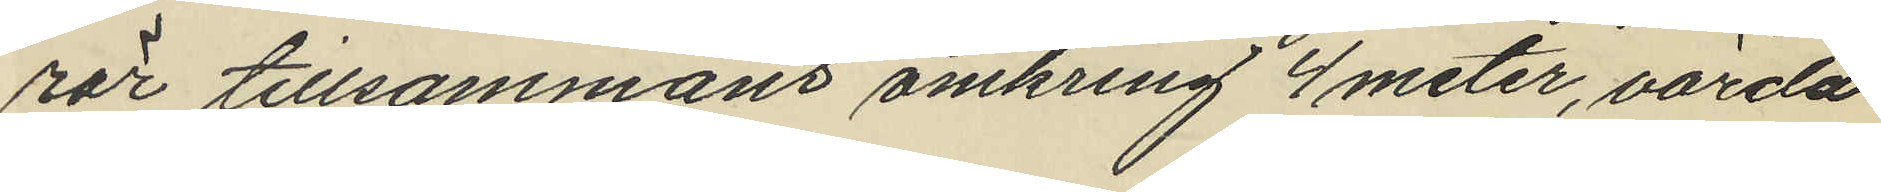rör tillsammans omkring 4 meter, värda
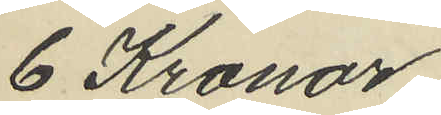6 Kronor.
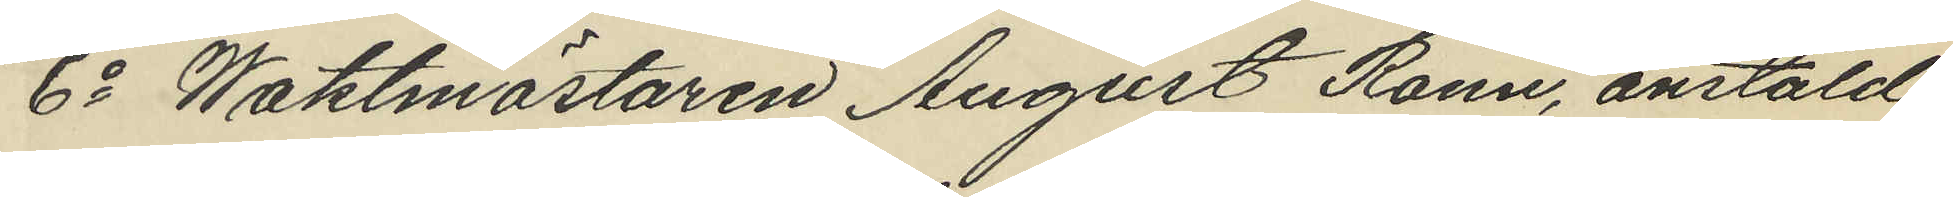6o Waktmästaren August Rönn, anstäld
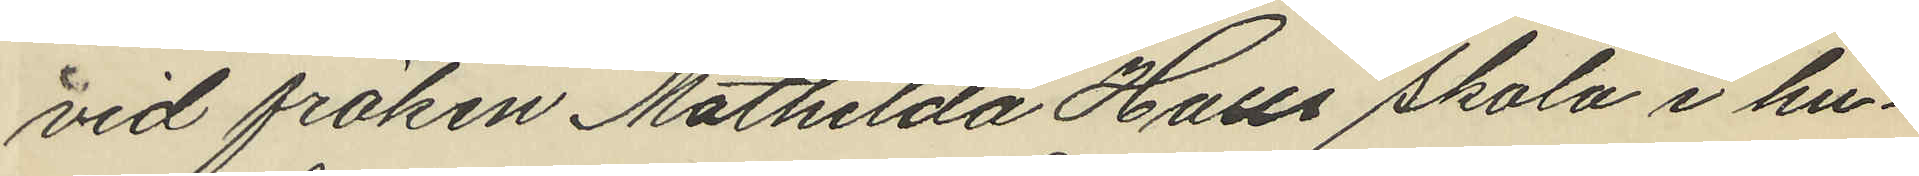vid fröken Mathilda Halls skola i hu¬
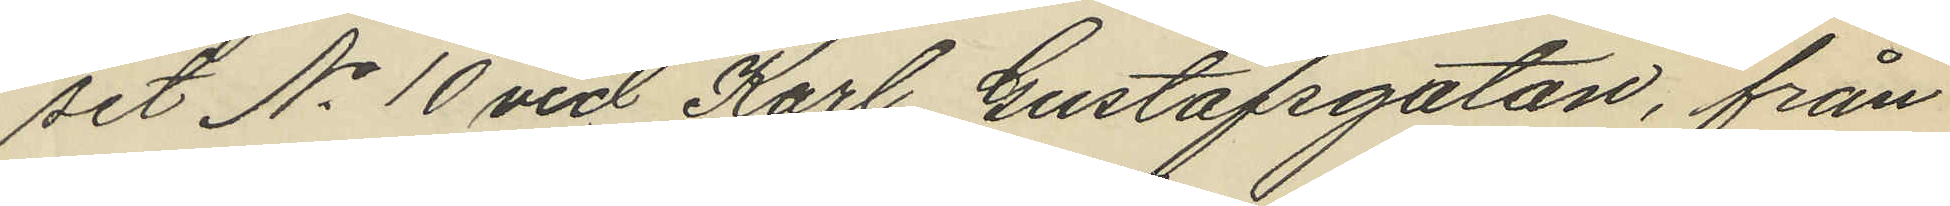set No 10 vid Karl Gustafsgatan, från
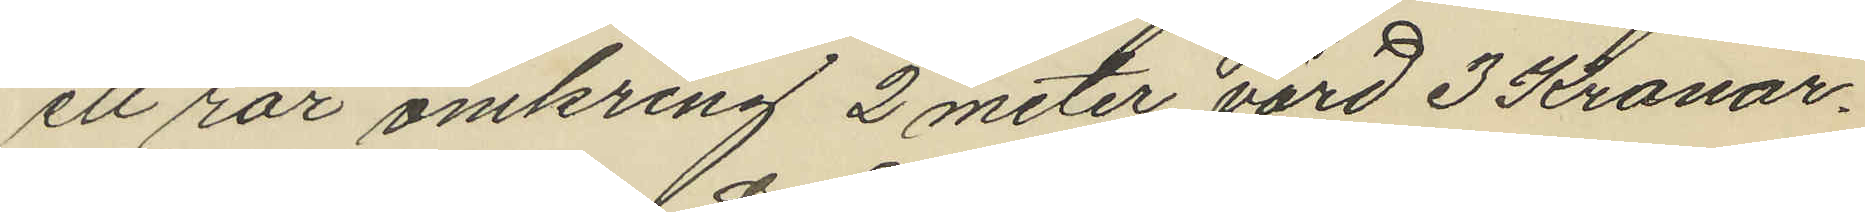ett rör omkring 2 meter, värd 3 Kronor.
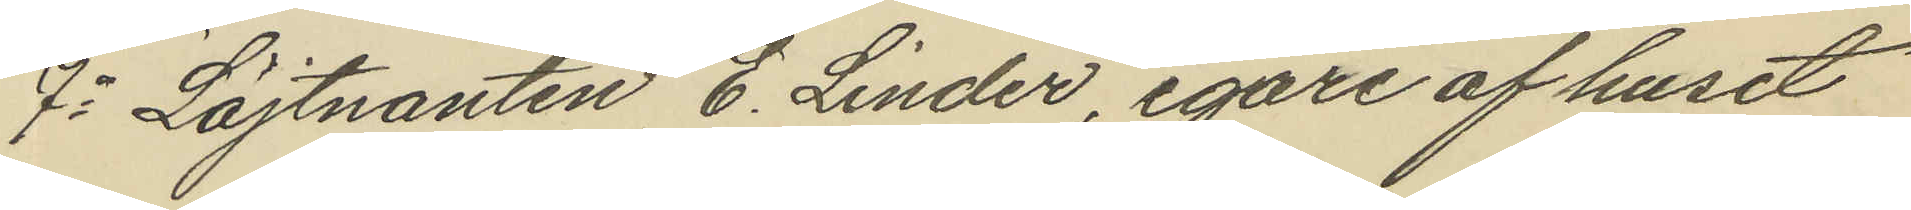7o Löjtnanten E. Linder, egare af huset
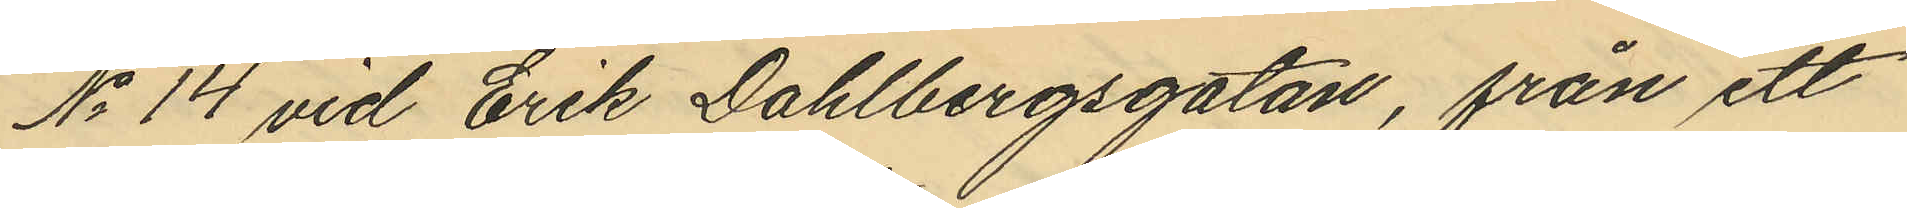No 14 vid Erik Dahlbergsgatan, från ett
